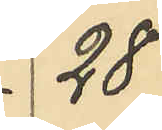28
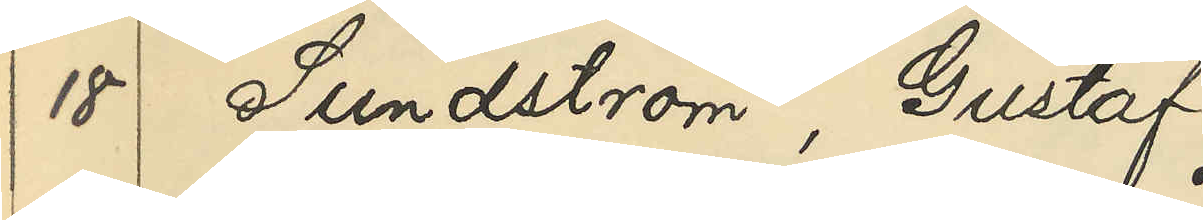18 Sundström, Gustaf
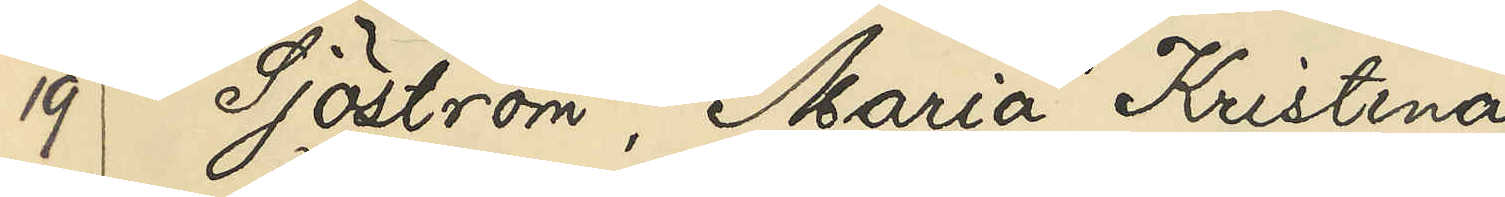19 Sjöström, Maria Kristina
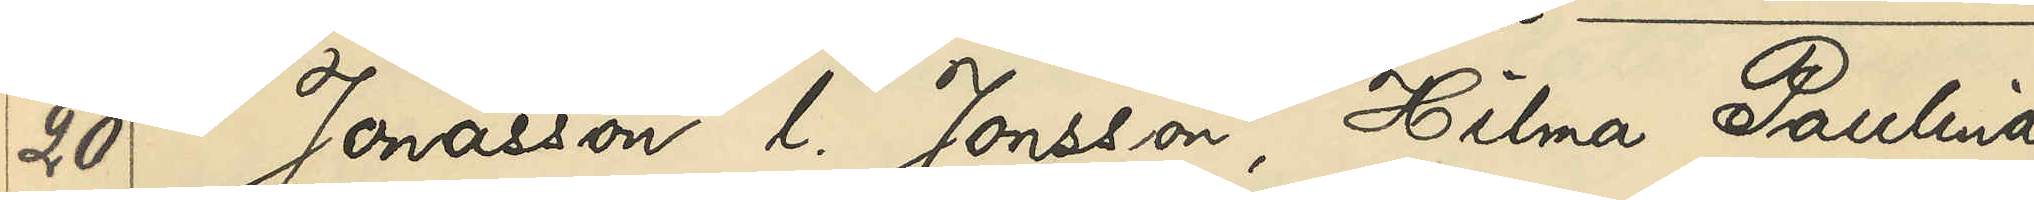20 Jonasson l. Jonsson, Hilma Paulina
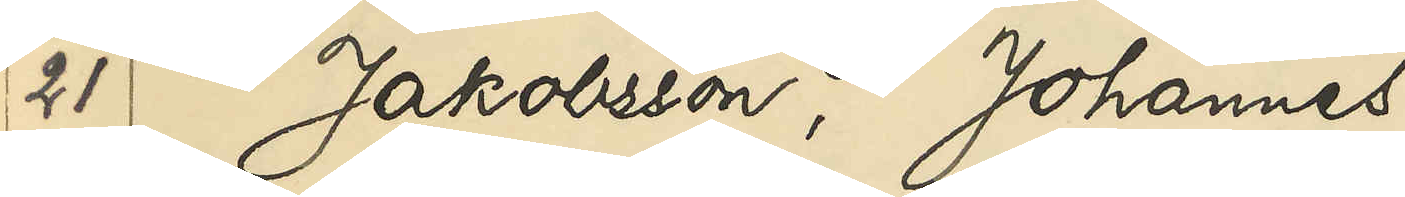21 Jakobsson, Johannes
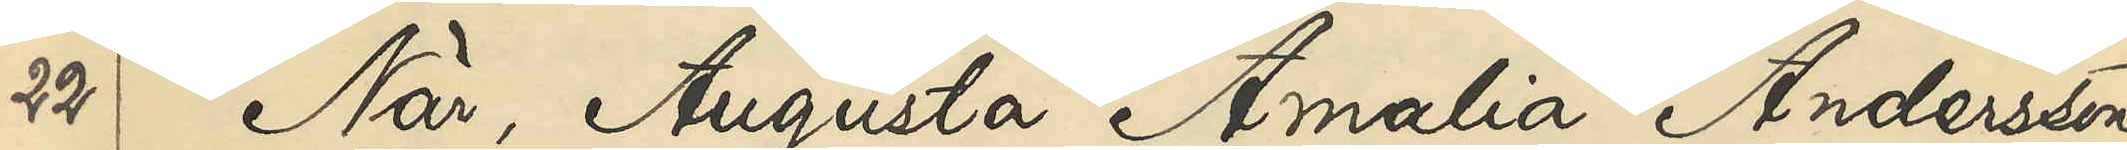22 När, Augusta Amalia Andersson
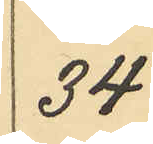34
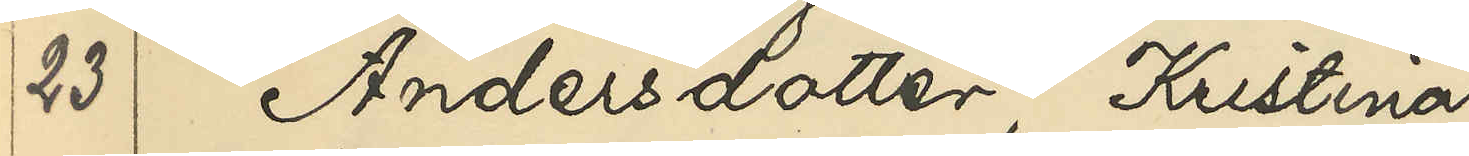23 Andersdotter, Kristina
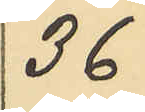36
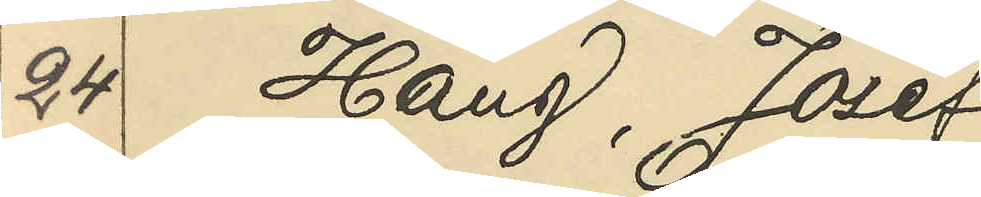24 Haug, Josef
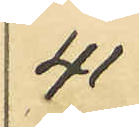41
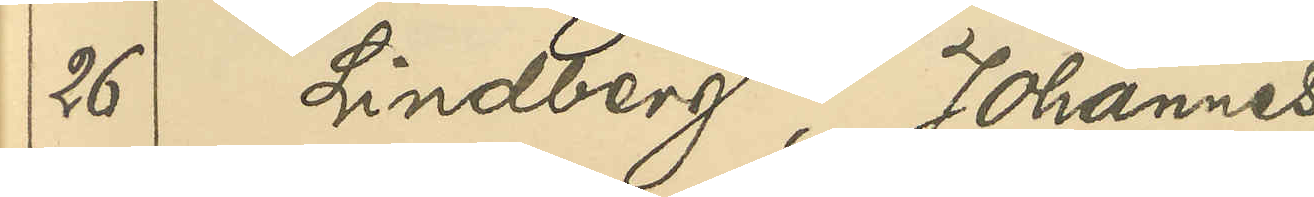26 Lindberg, Johannes
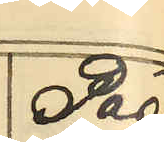Pag
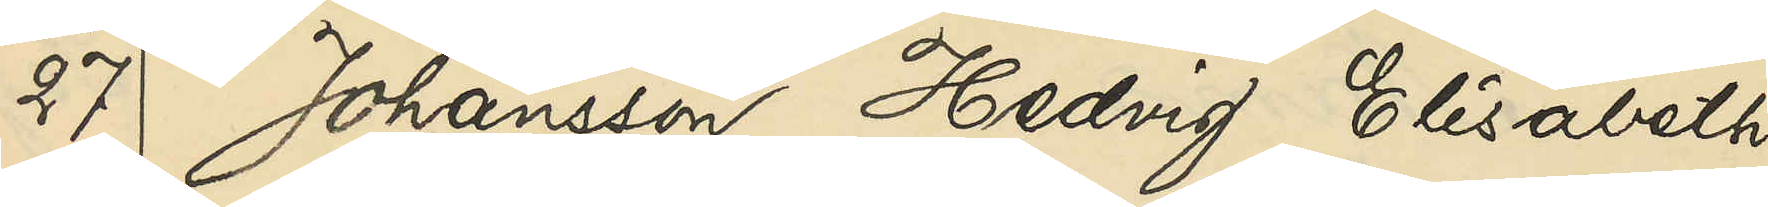27 Johansson, Hedvig Elisabeth
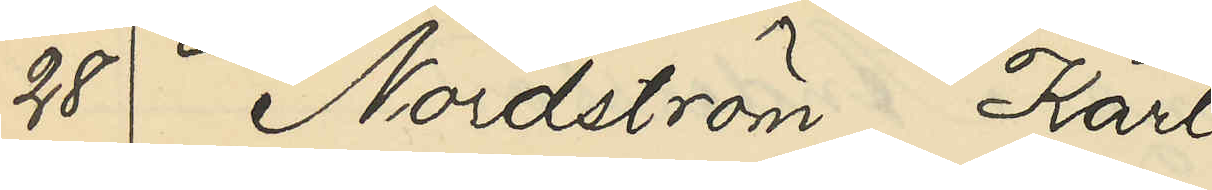28 Nordström, Karl
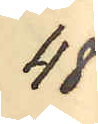48
